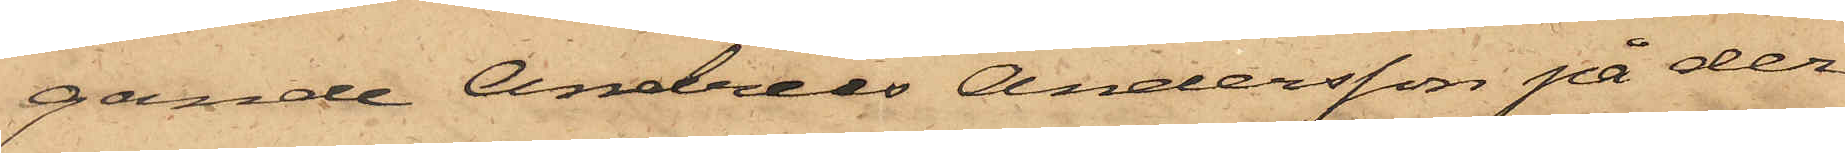gande Andreas Andersson på der¬
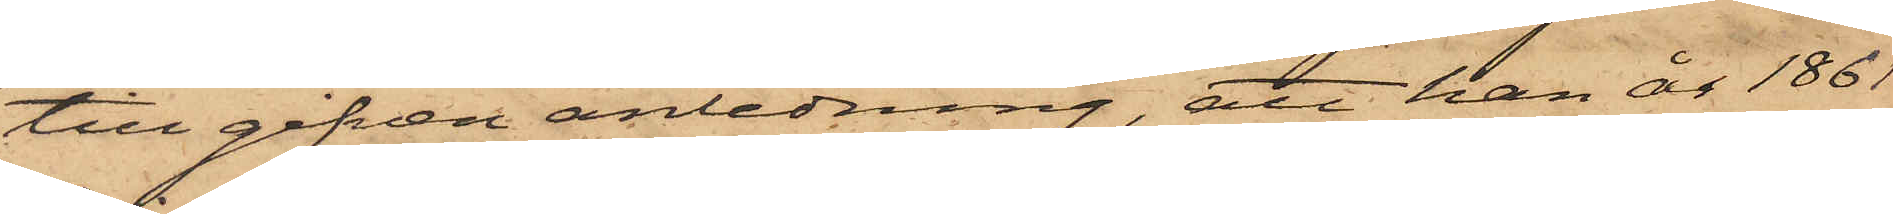till gifven anledning, att han år 1861
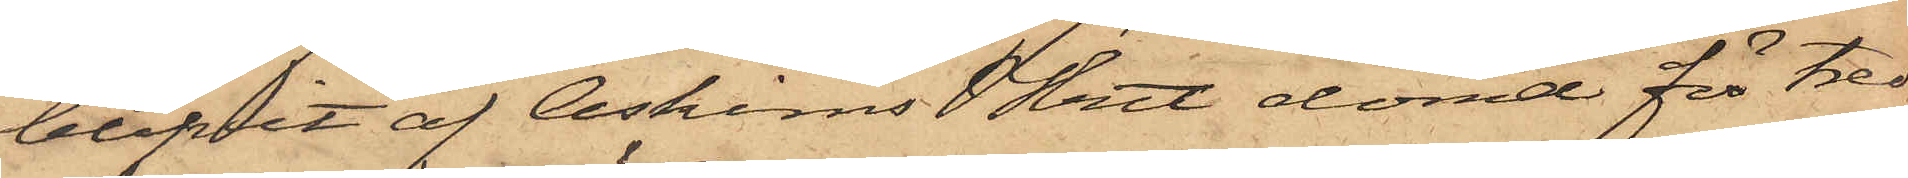blifvit af Askims Hrtt dömd för tred¬
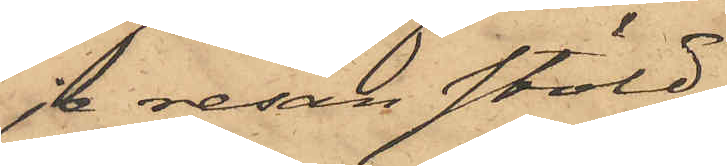je resan stöld.
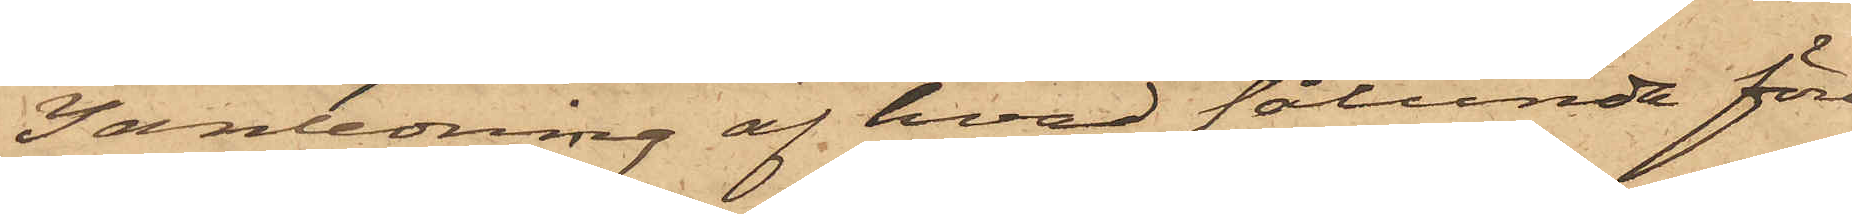I anledning af hvad sålunda före¬
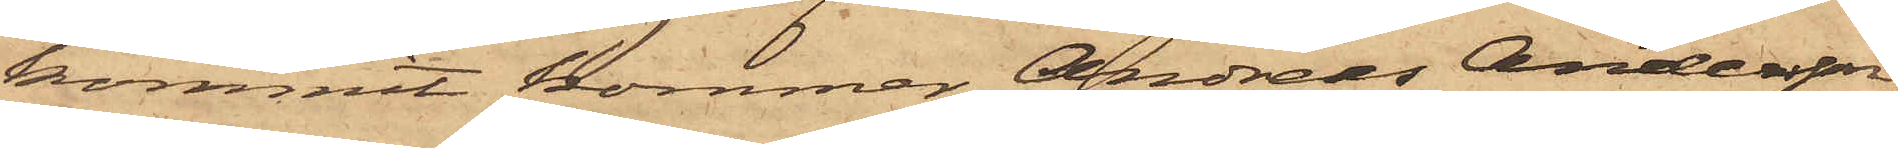kommit kommer Andreas Andersson,
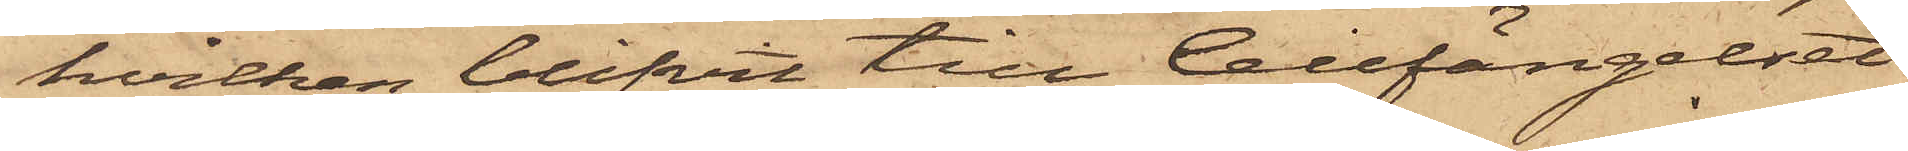hvilken blifvit till Cellfängelset
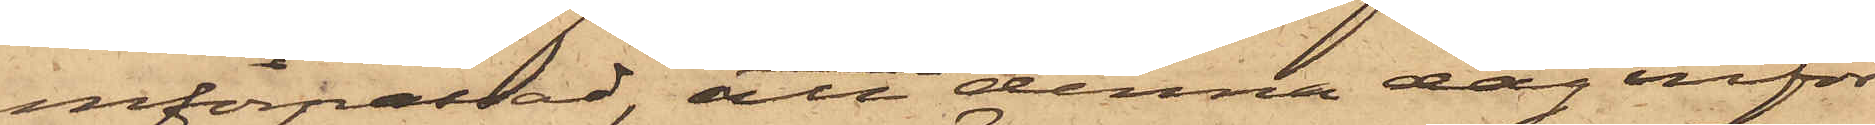införpassad, att denna dag inför
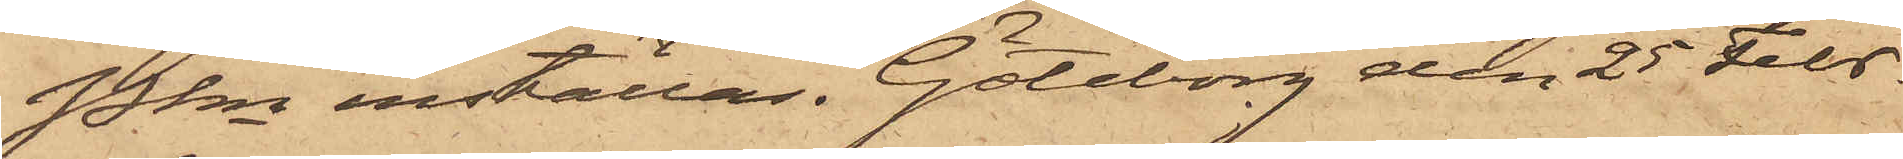Pkn inställas. Göteborg den 25 Febr.
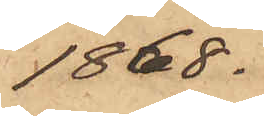1868.
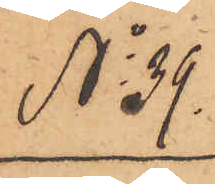No 39.
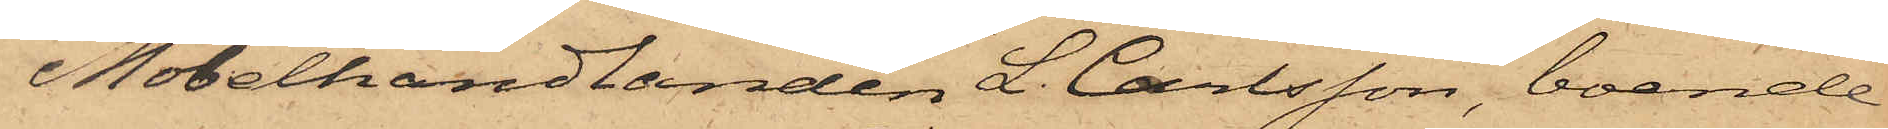Möbelhandlanden L. Carlsson, boende
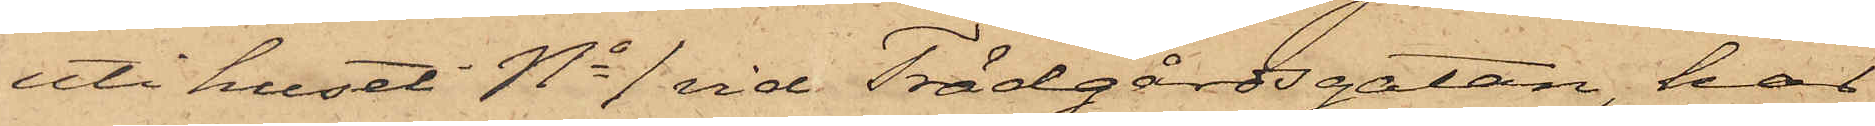uti huset No 1 vid Trädgårdsgatan, har
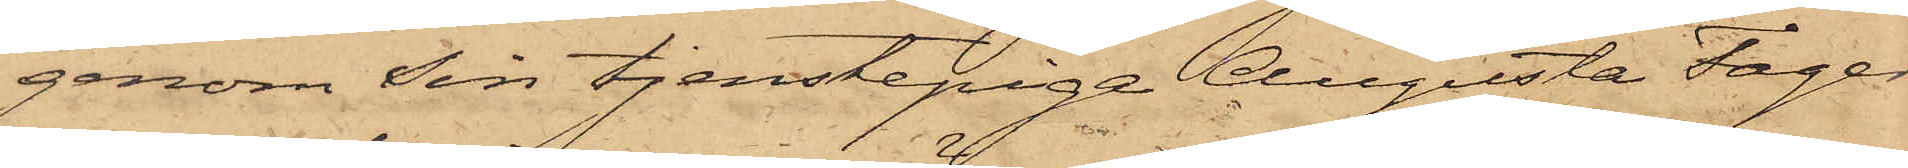genom sin tjenstepiga Augusta Fager¬
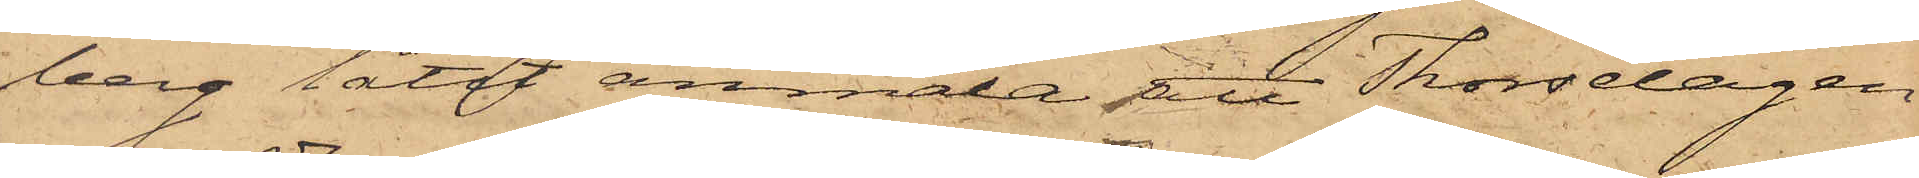berg låtit anmält att Thorsdagen
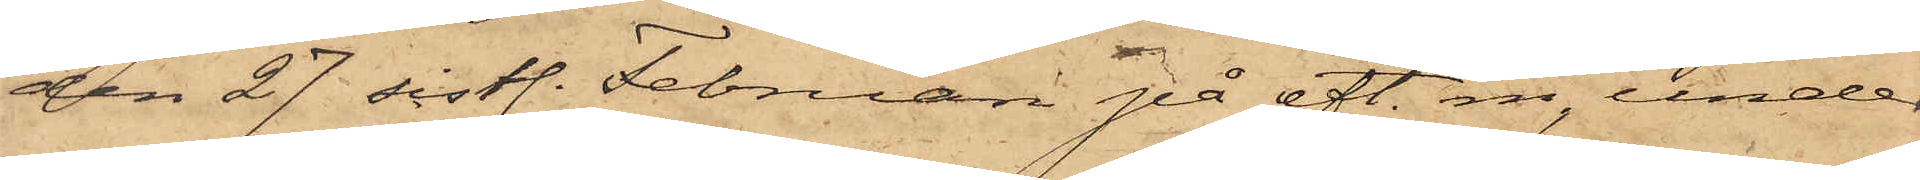den 27 sistl. Februari på eft. m., under
